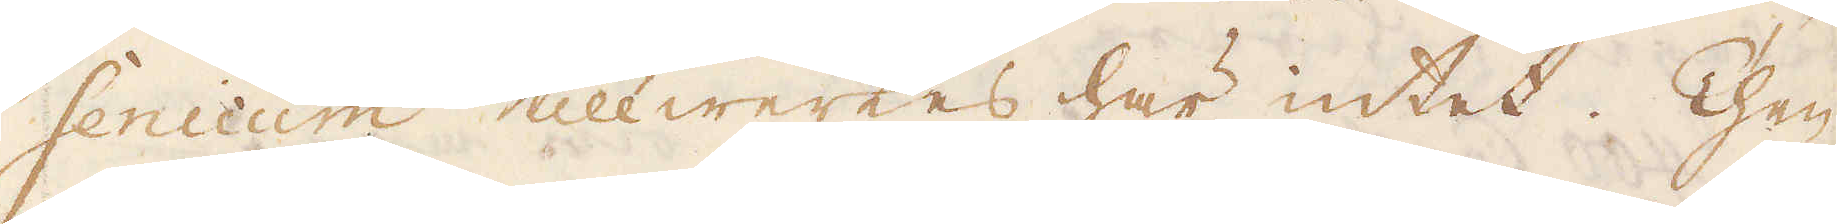senicum tillwerkes här intet. Then
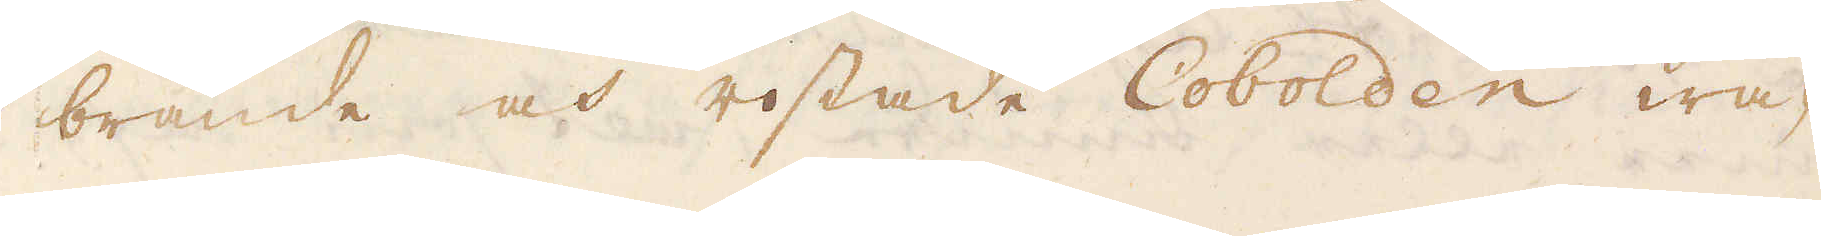brände och rostade Cobolden wa-
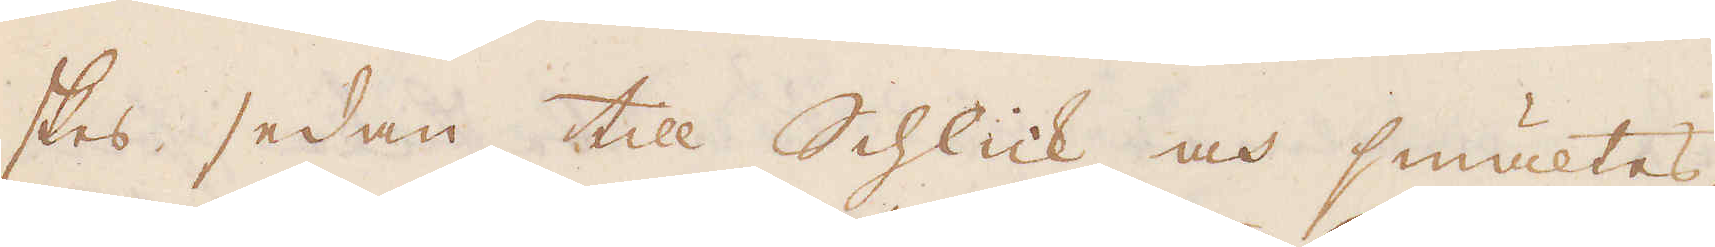skas sedan till Schlick och smältes,
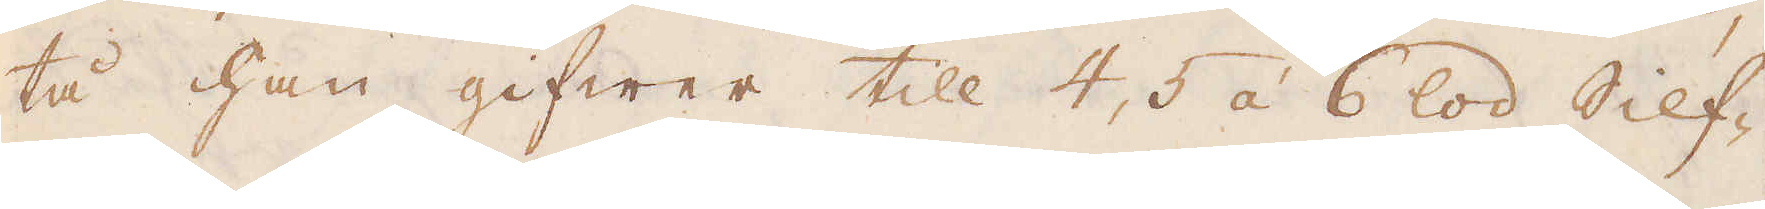tå han gifwer till 4, 5 à 6 lod Silf-
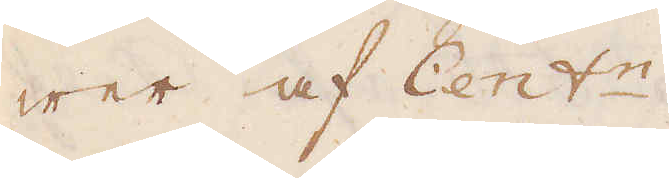wer af Cent:n.
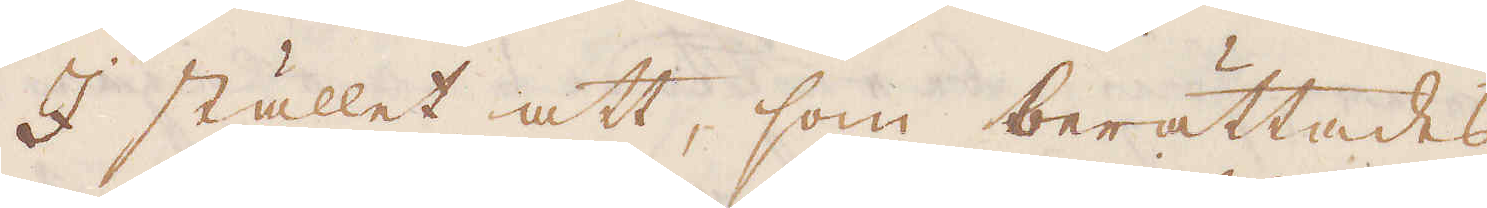I stället att, som berättades,
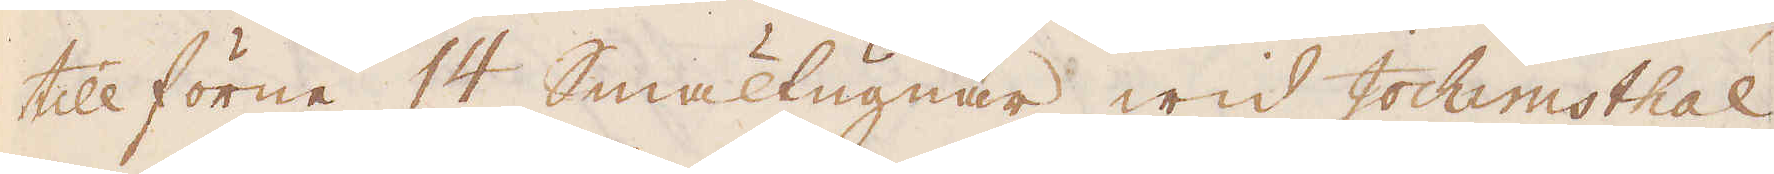tillförne 14 Smältugnar wid Jochimsthal
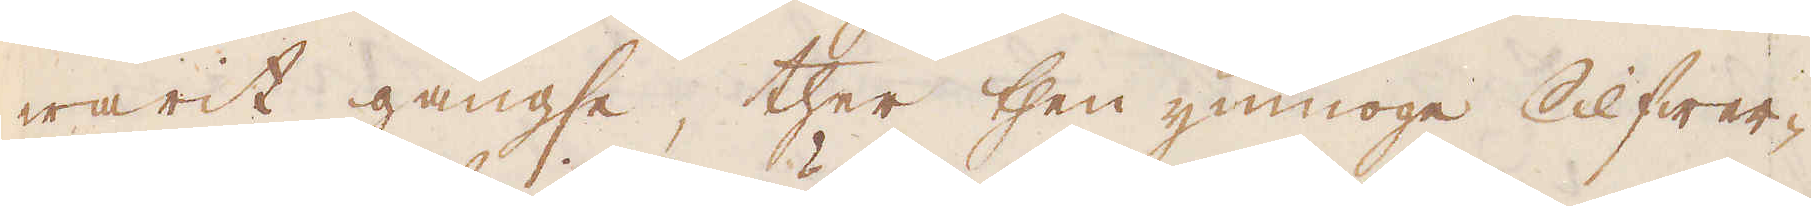warit gängse, ther then ymnoge Silfwer-
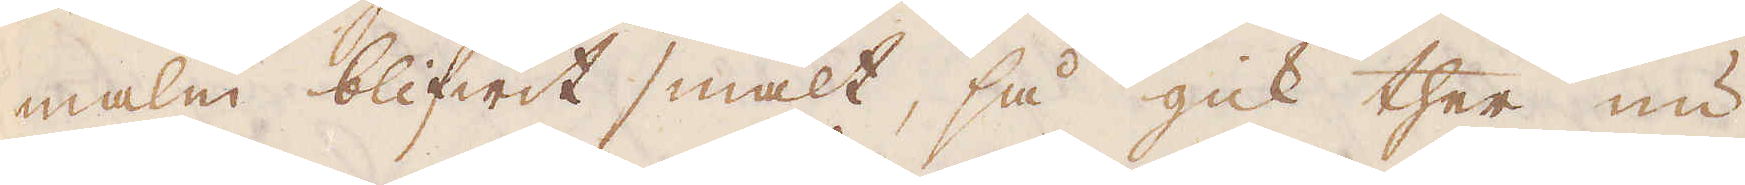malm blifwit smält, så gick ther nu
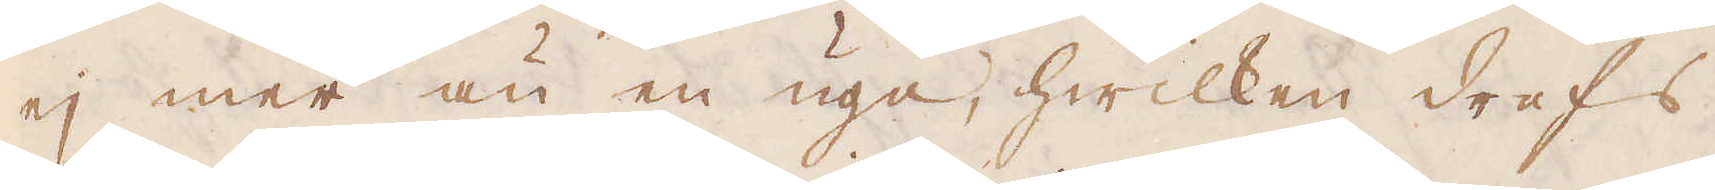ej mer än en ugn, hwilken drefs
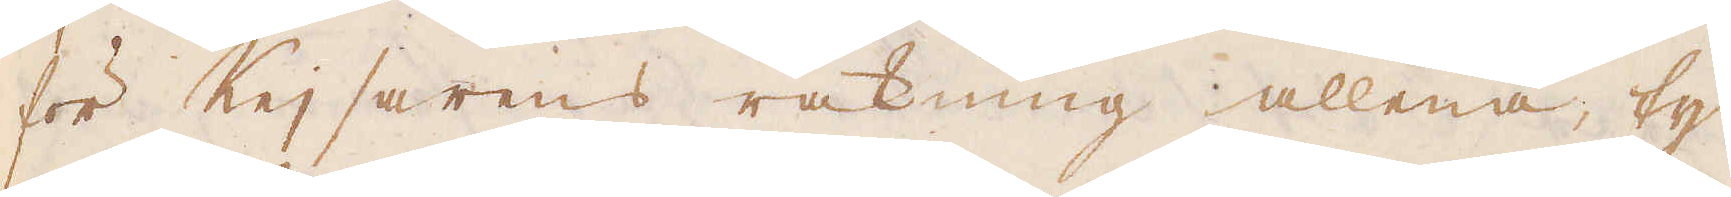för Kejsarens räkning allena, ty
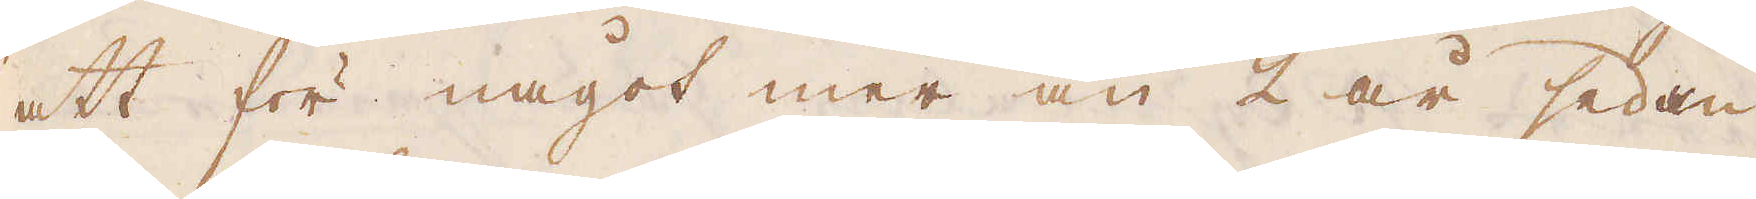att för något mer än 2 år sedan
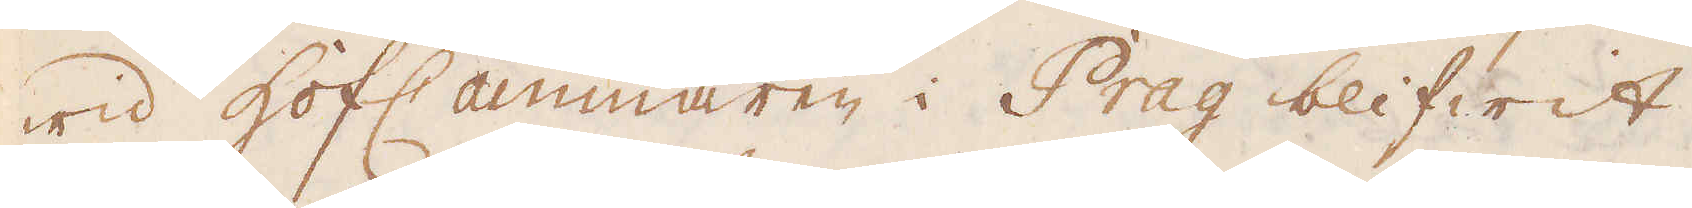wid Hof Cammaren i Prag blifwit
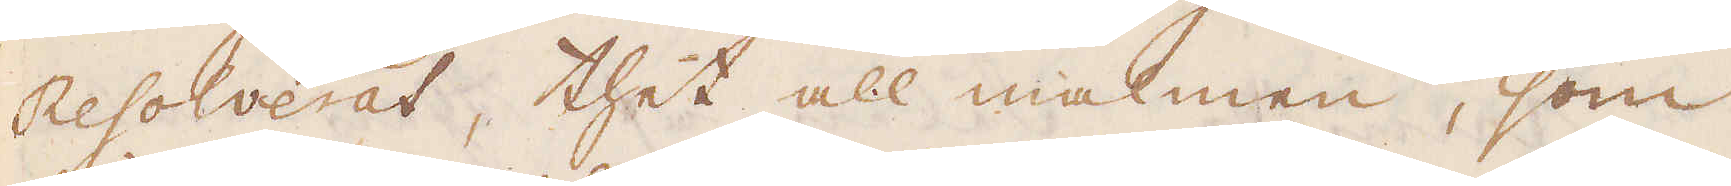Resolverat, thet all malmen, som
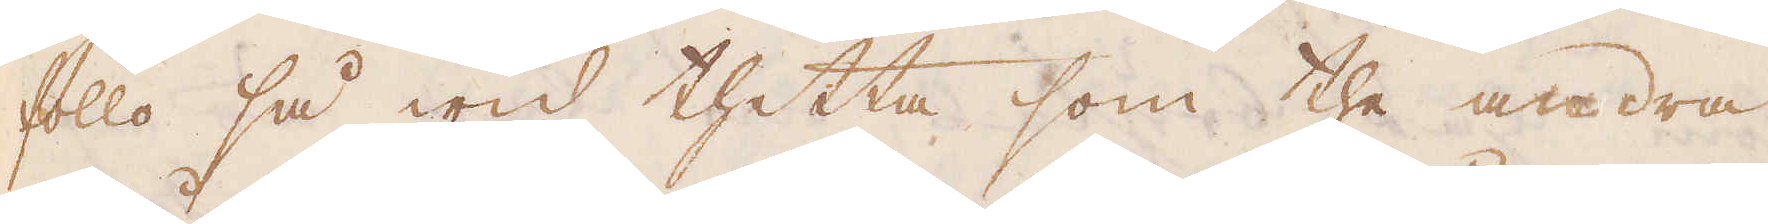föllo så wid thetta som the andra
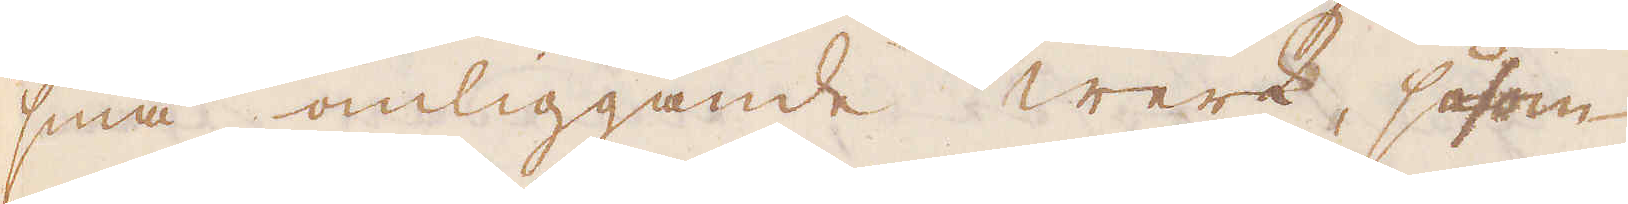små omliggande Werk, såsom
